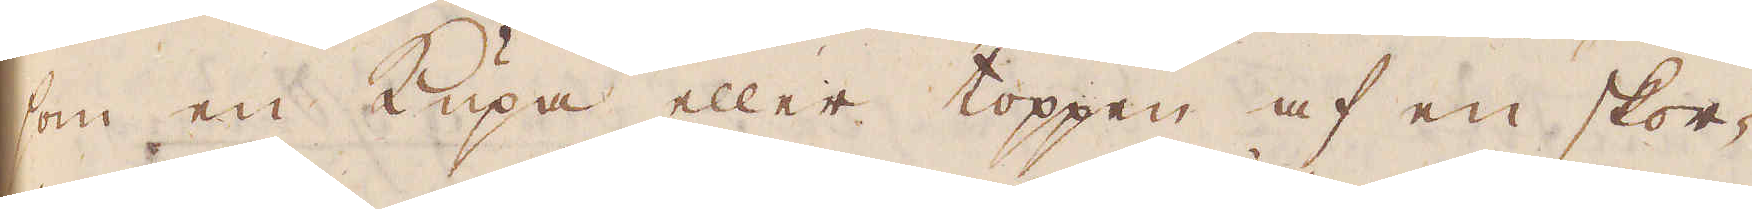som en Kupa eller toppen af en skor-
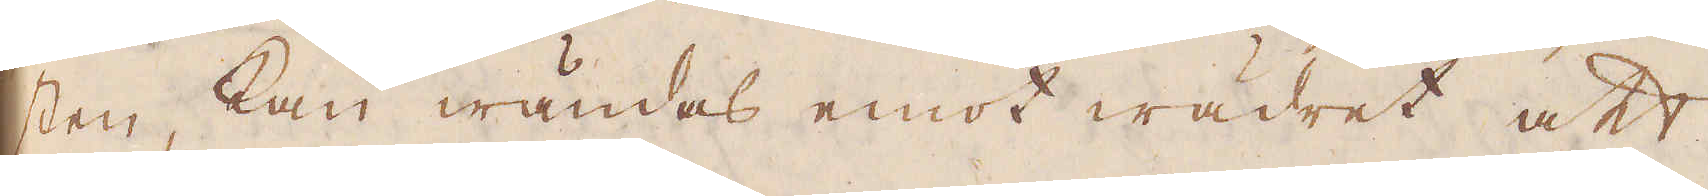sten, kan wändas emot wädret att
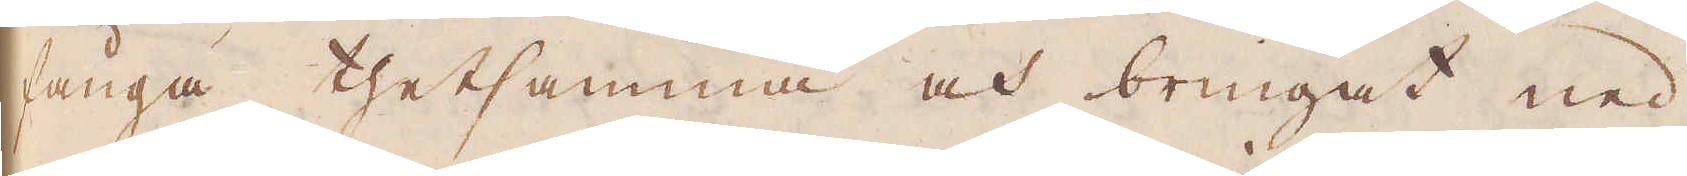fånga thetsamma och bringat ned
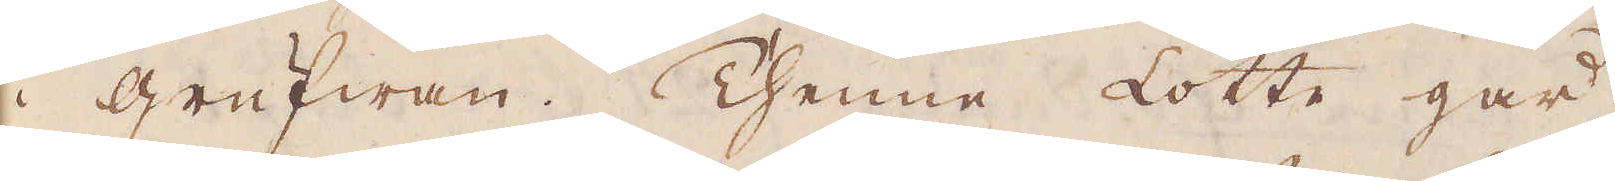i Grufwan. Thenne Lotte går
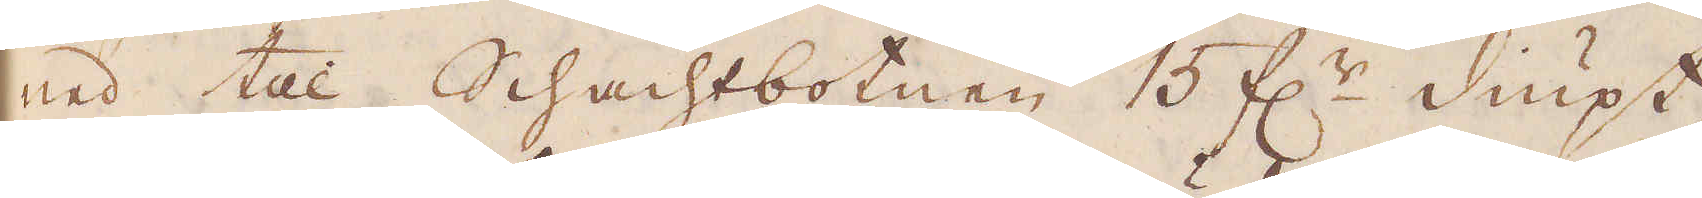ned till Schachtbotnen 15 f:r diupt,
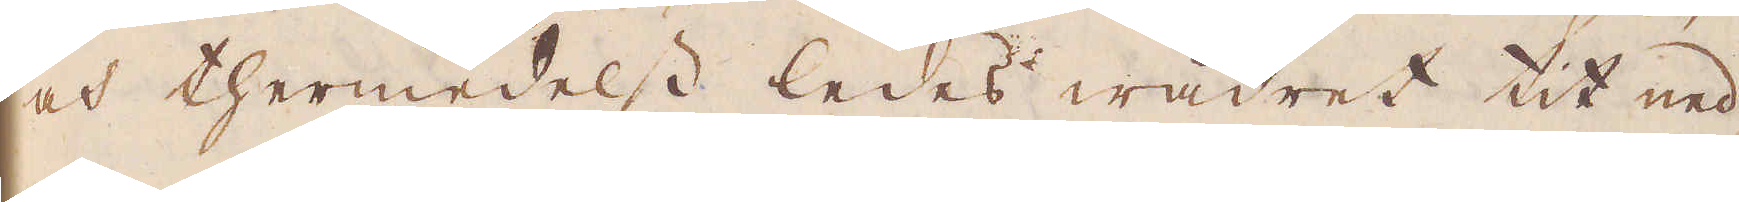och thermedelst ledes wäret tit ned
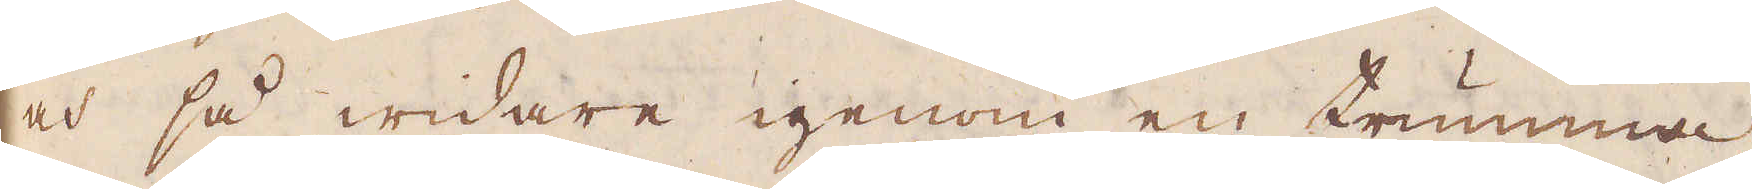och så widare igenom en trumma,
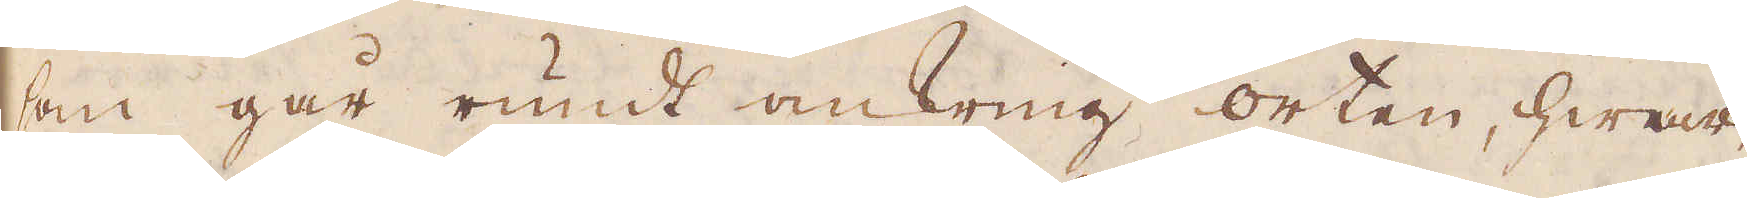som går rundt omkring orten, hwar-
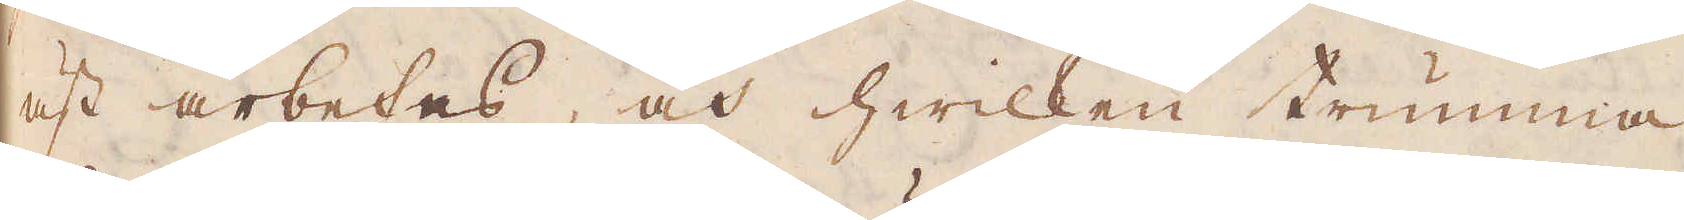äst arbetas, och hwilken trumma
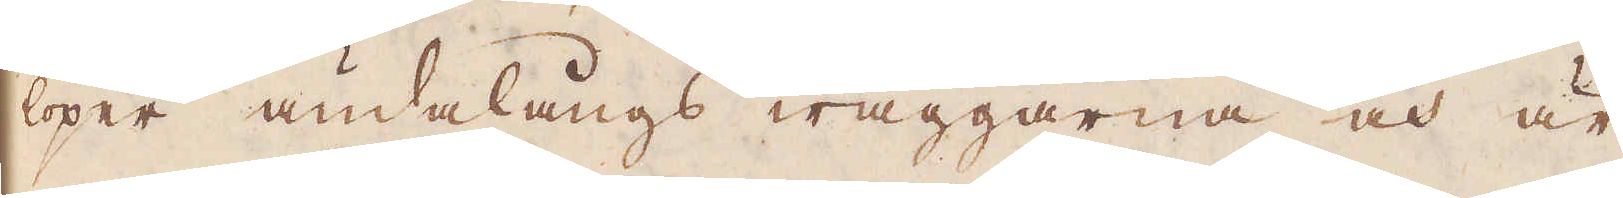löper ändalängs wäggarna och är
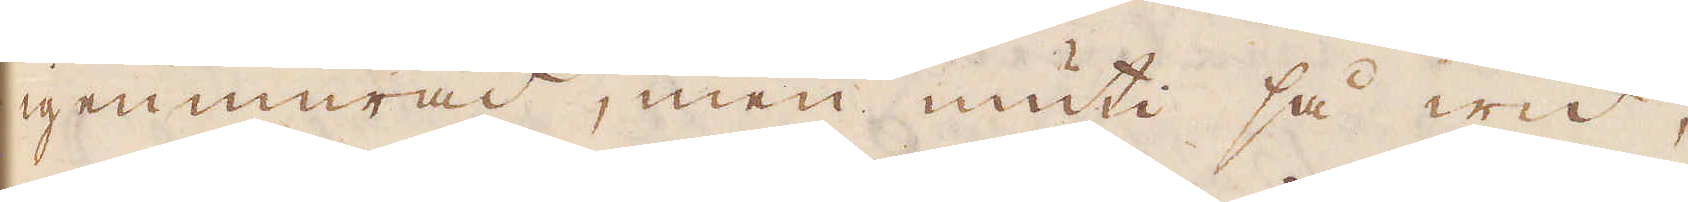igenmurad, men inuti så wid,
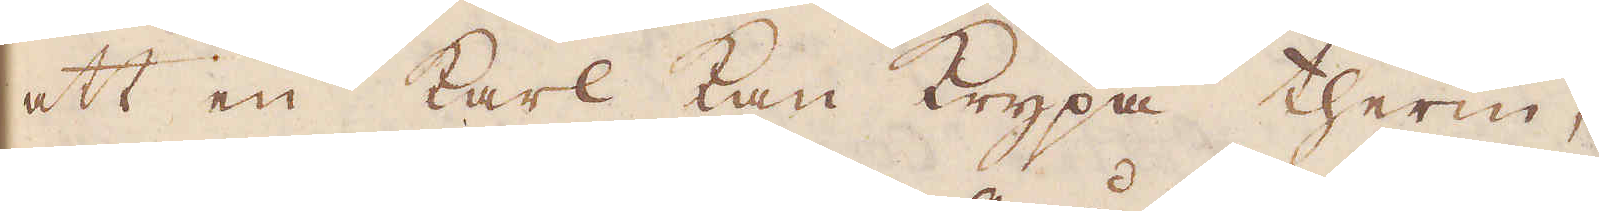att en karl kan krypa therin,
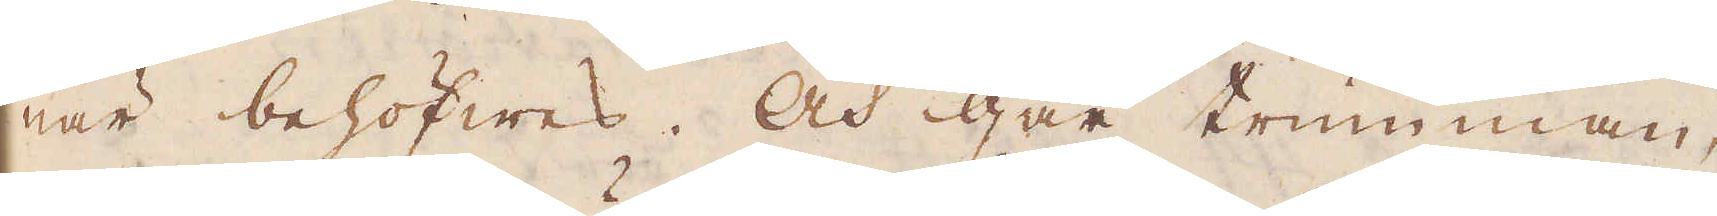när behöfwes. Och går trumman,
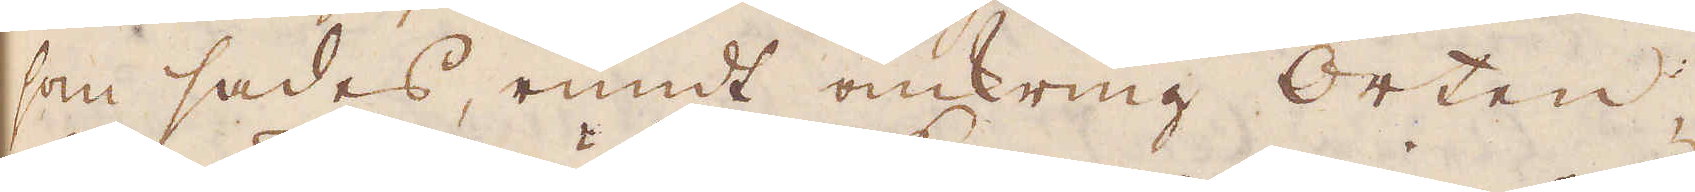som sades, runt omkring Orten,
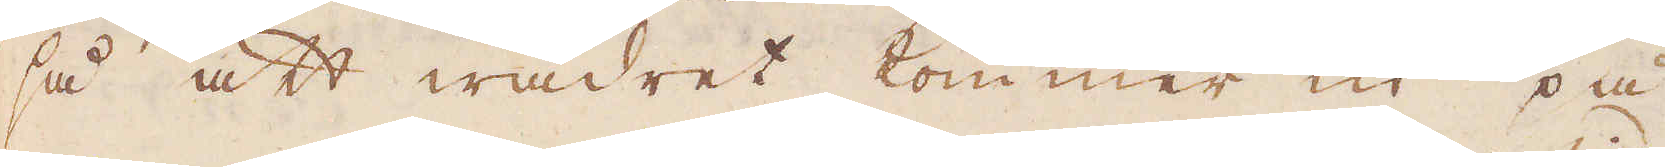så att wädret kommer in på
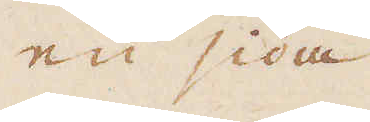en sida
